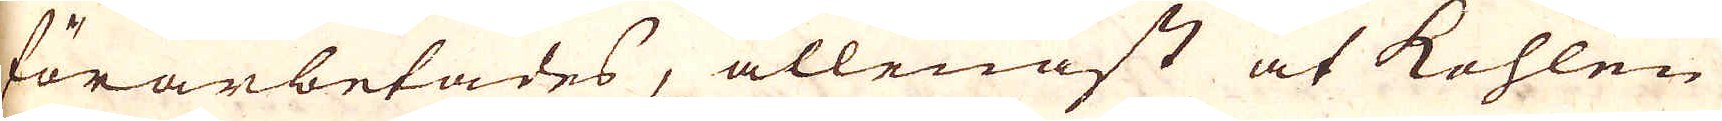förarbetades, allenast at kohlen
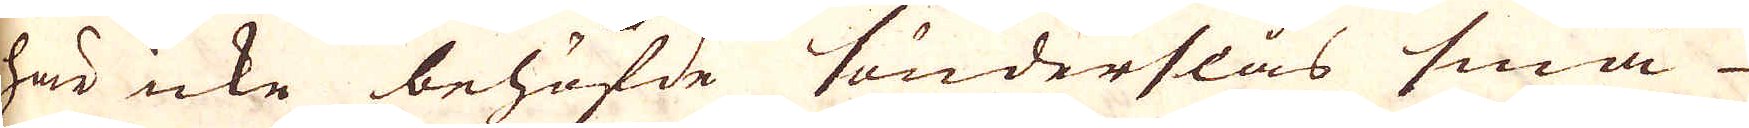här icke behöfde sönderslås små
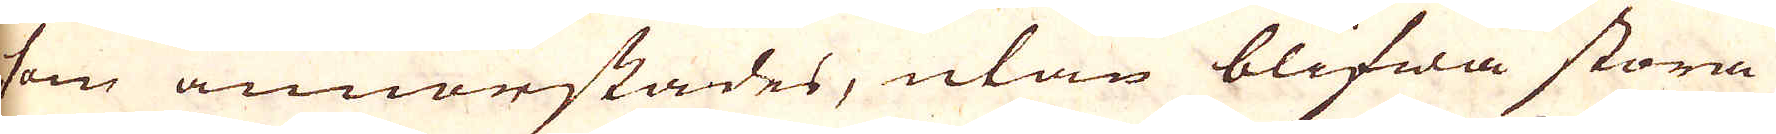som annorstädes, utan blifwa stora
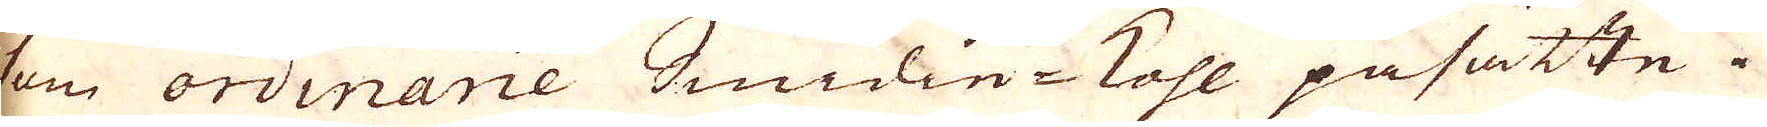om ordinarie Smidie-kohl påsatte.
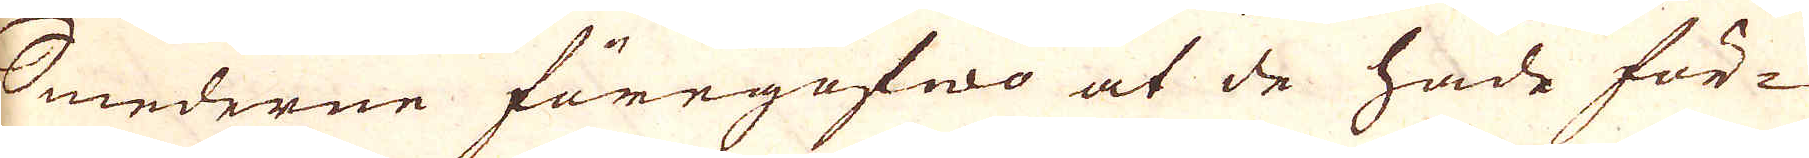Smederne föregofwo at de hade för-
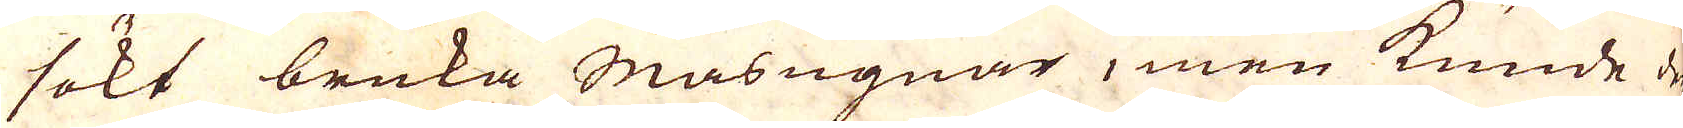sökt bruka Masugnar, men kunde de
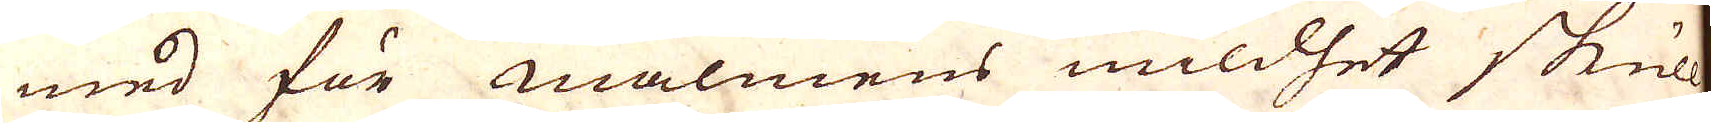med för malmens mildhet skull
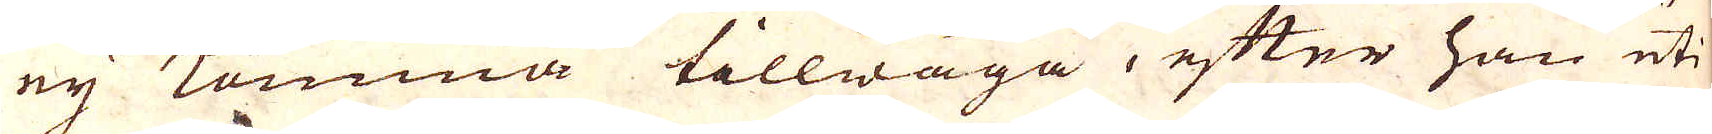ej komma tillwäga, efter han uti
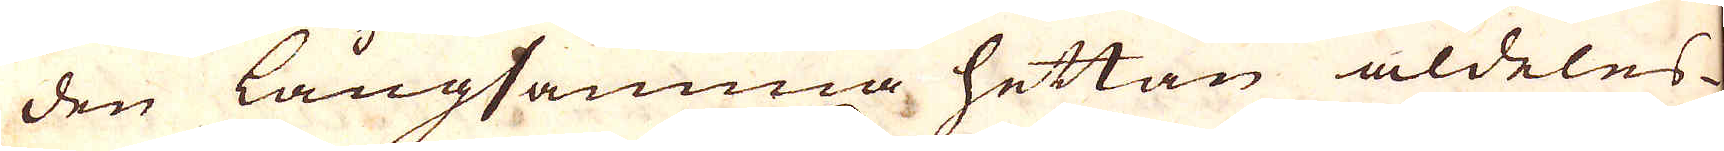den långsamma hettan aldeles
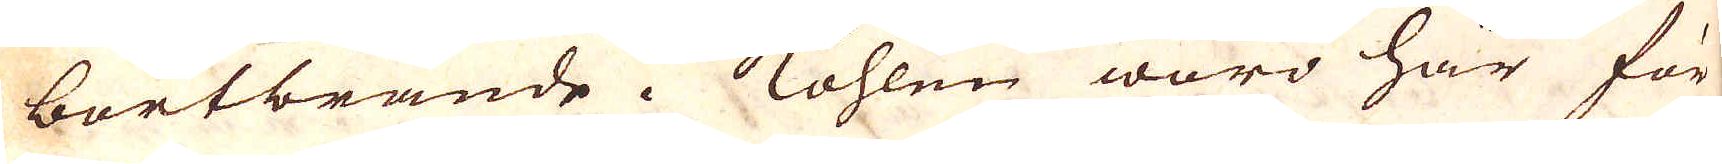bortbrände i kohlen woro här för
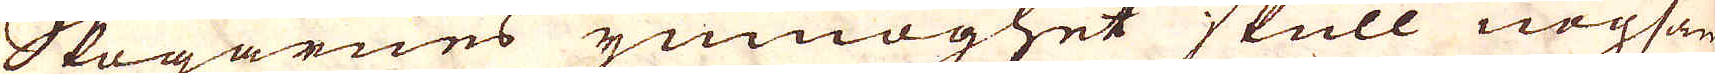Skogarnas ymnoghet skull nogsamt
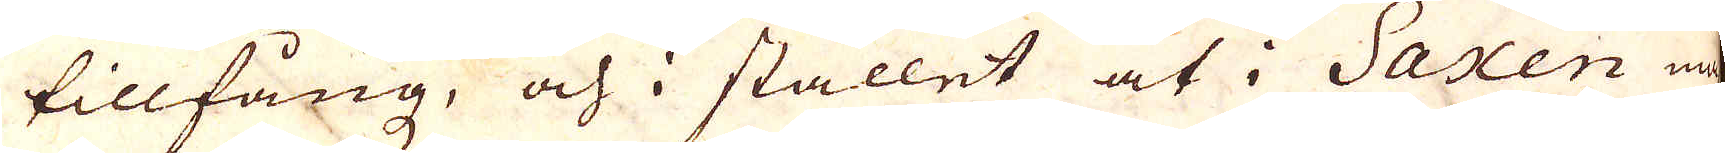tillfångz, och i stället at i Saxen mäst
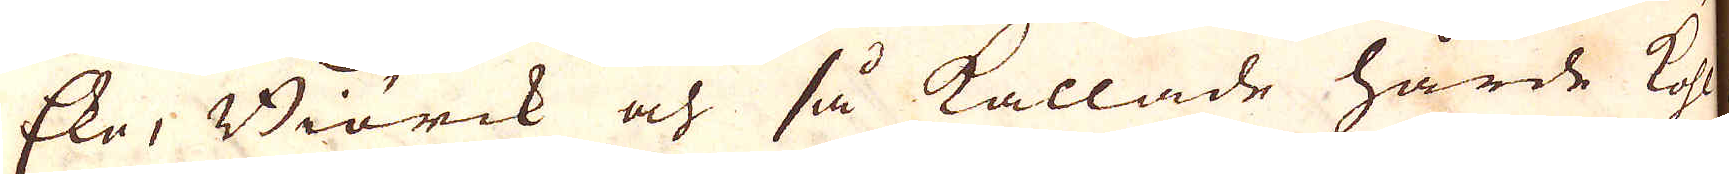Eke, Biörck och så kallade hårde Kohl
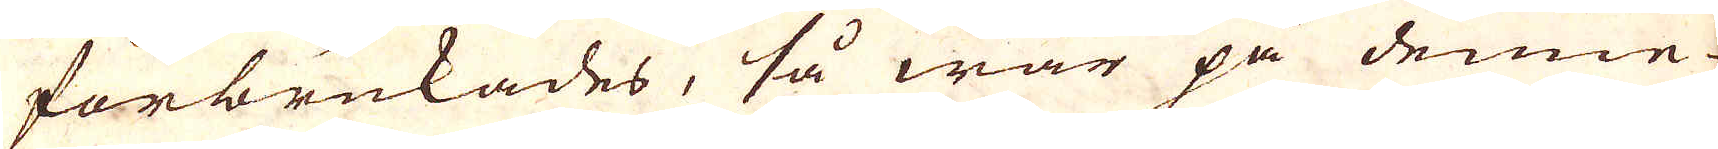förbrukades, så war på denne
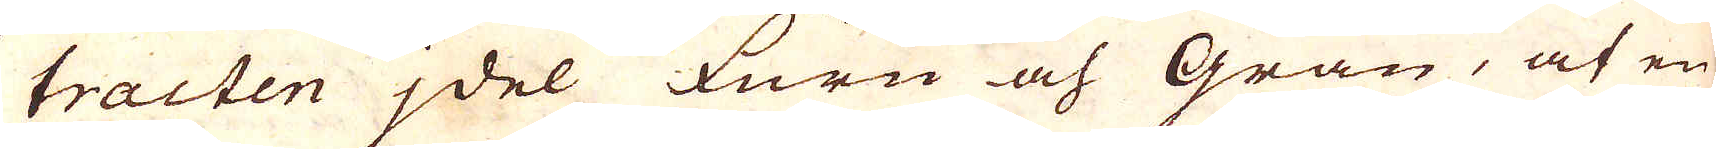tracten jdel Furu och Gran, at en
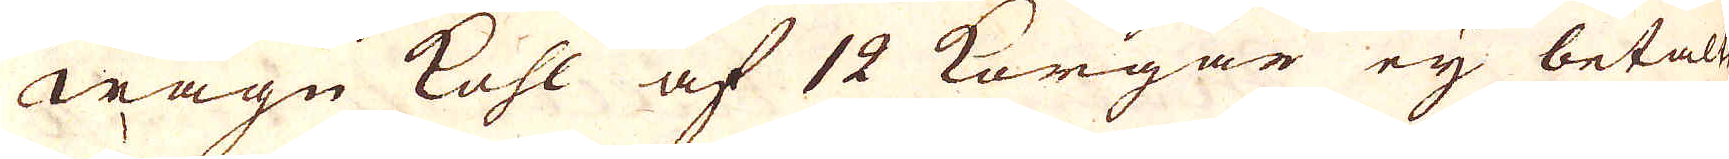wagn kohl af 12 Korgar eij betalt
